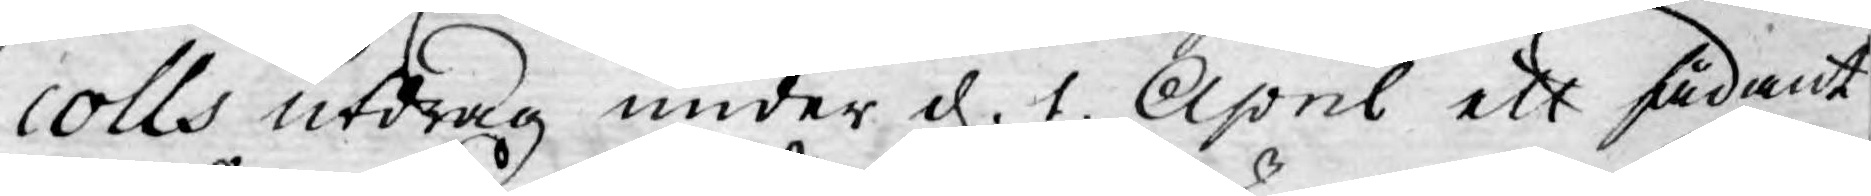colls utdrag under d. 1. April ett sådant
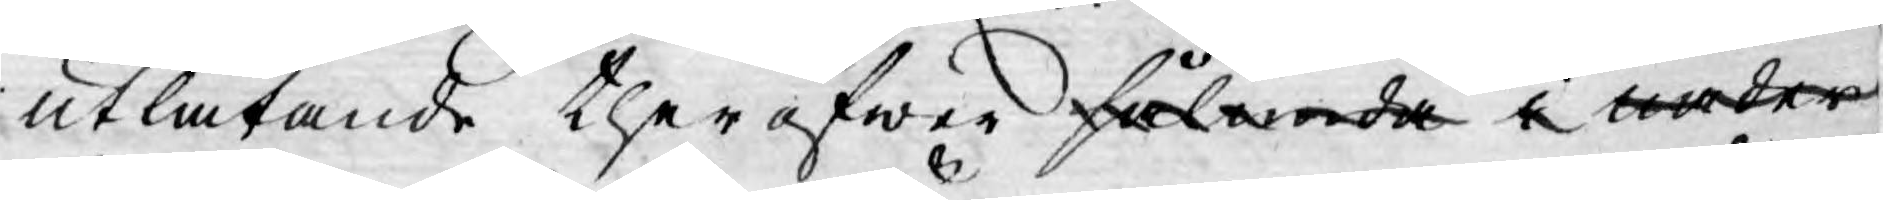utlåtande theröfwer sålunda i nåder
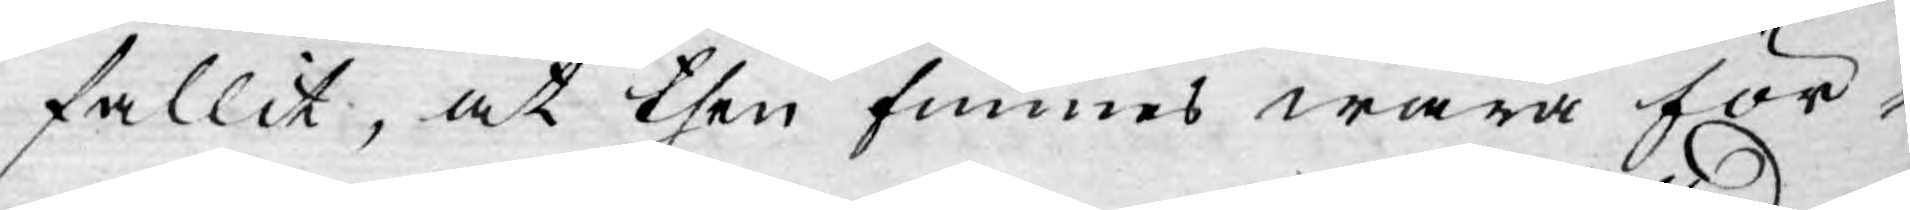fallit, at then funnes wara för¬
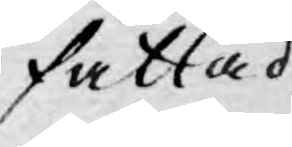fattad
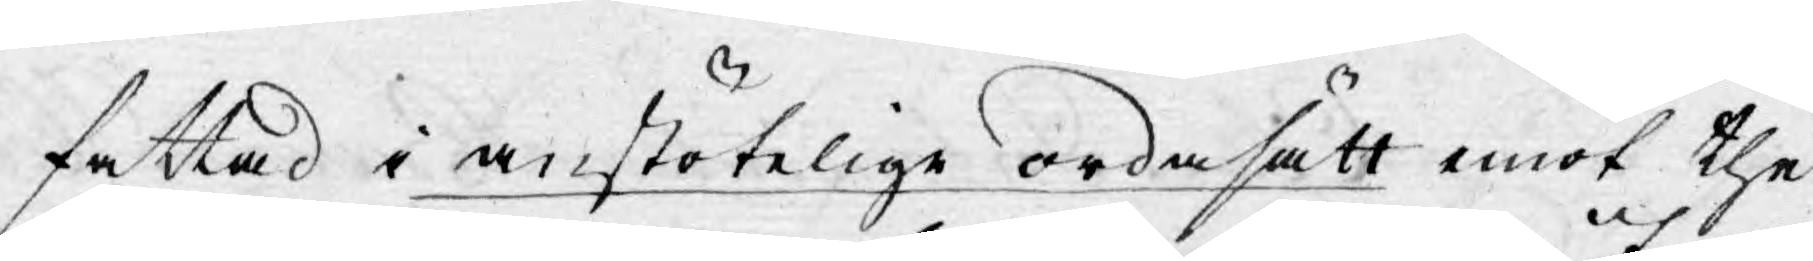fattad i anstötelige ordasätt emot the
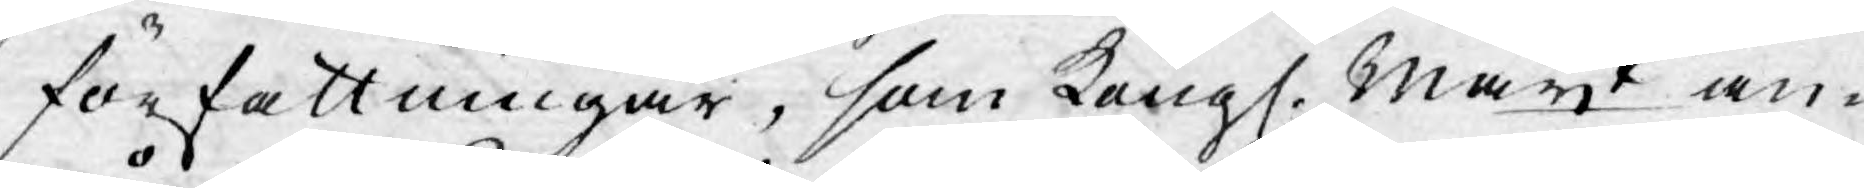författningar, som Kongl. Mayt an¬
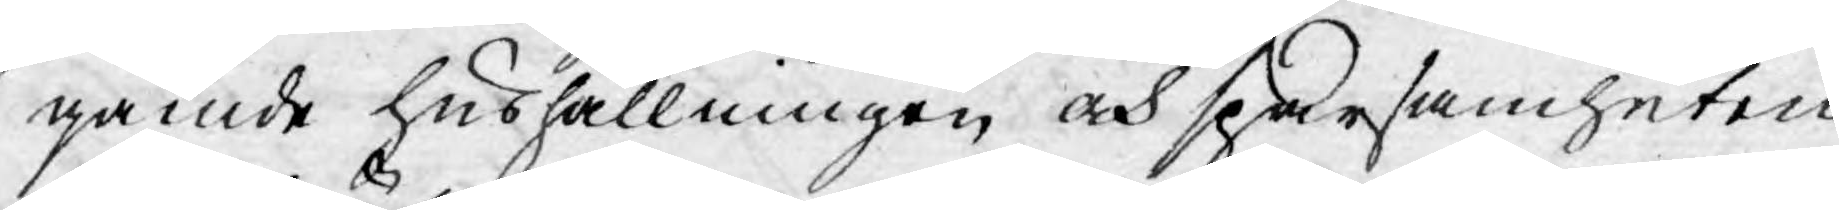gående hushållningen och sparsamheten
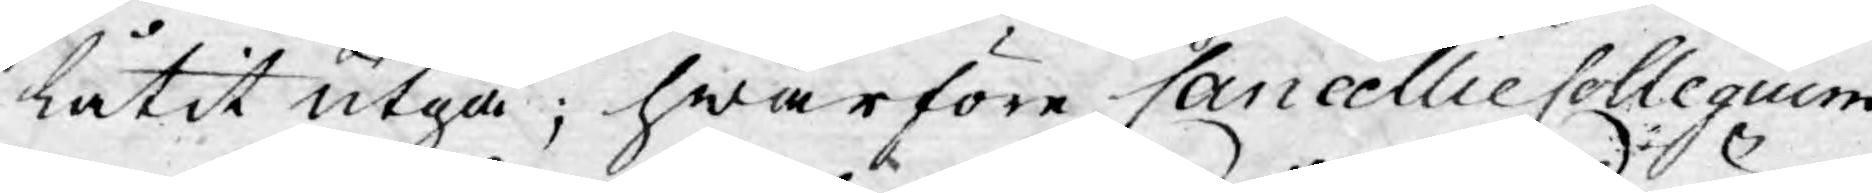låtit utgå; hwarföre CancellieCollegium
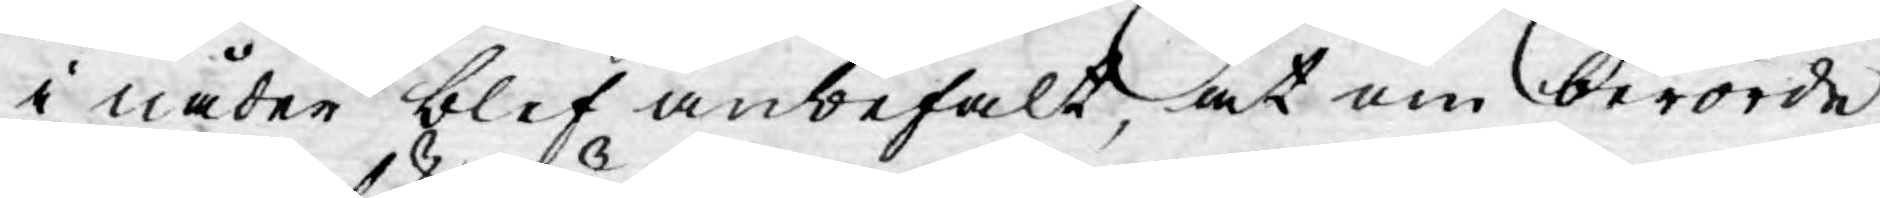i nåder blef anbefalt, at om berörde
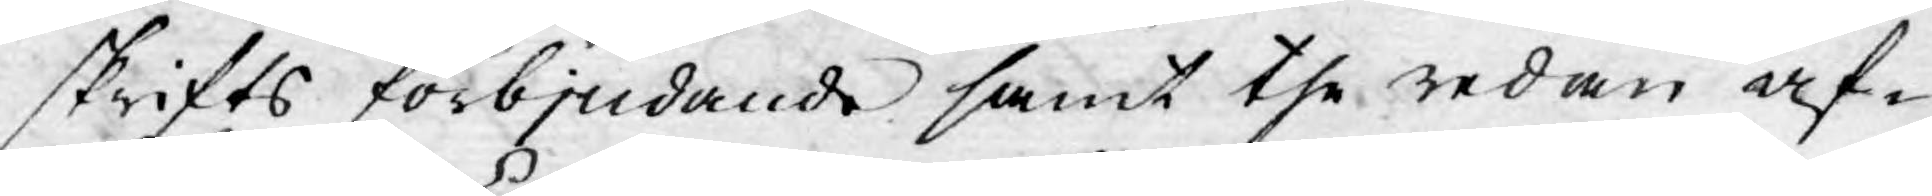skrifts förbjudande samt the redan af-
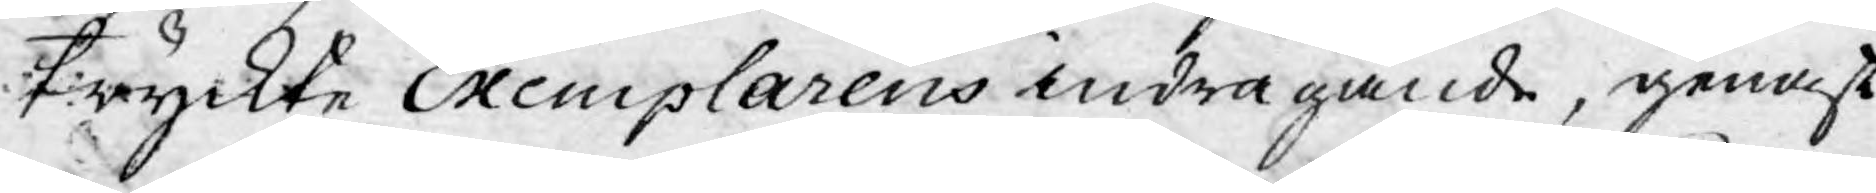tryckte Exemplarens indragande, genast
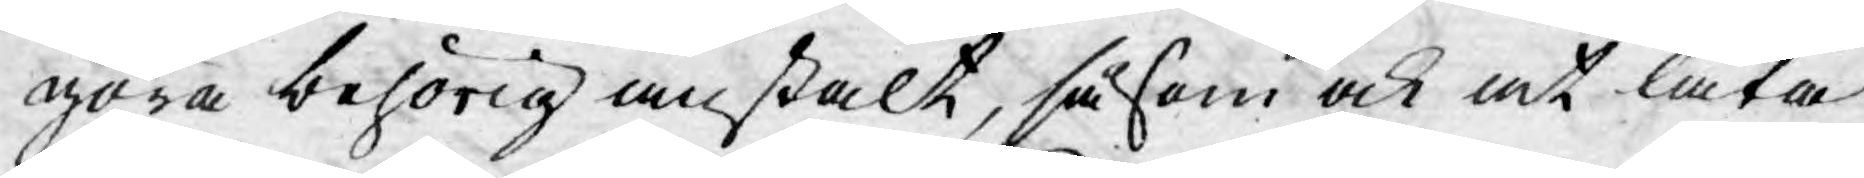göra behörig anstalt, såsom ock at låta
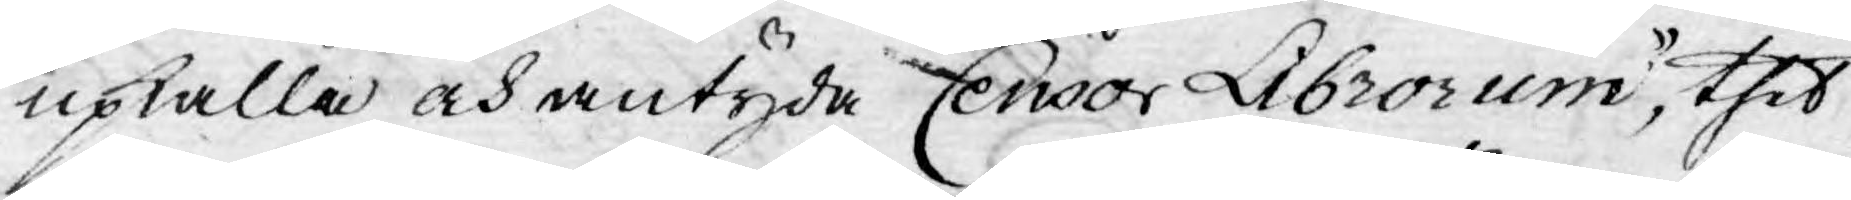upkalla och antyda Censor Librorum, thet
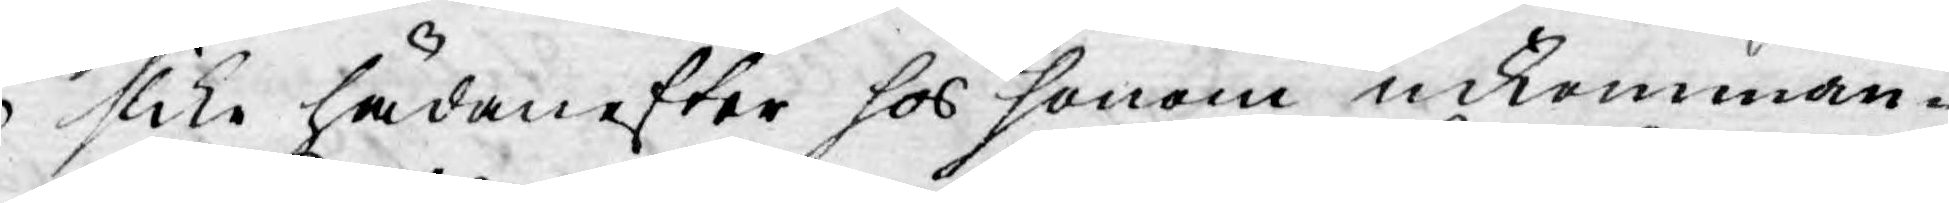slika hädanefter hos honom inkomman-
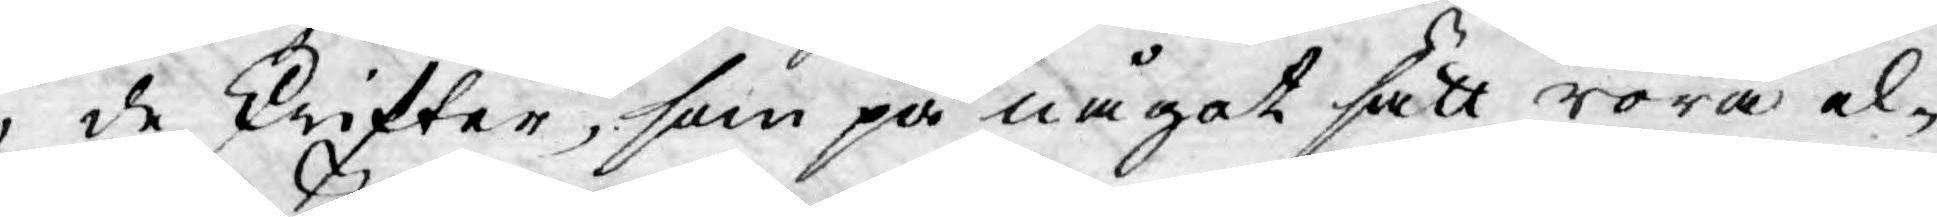de skrifter, som på något sätt röra el¬
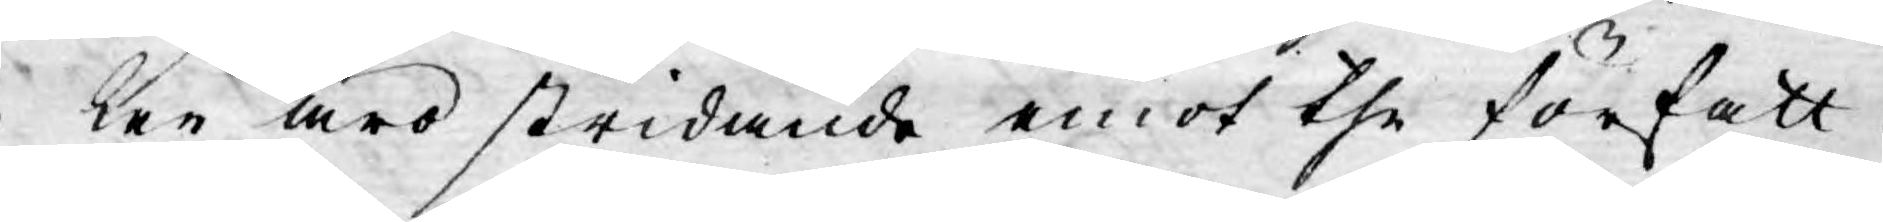ler äro stridande emot the författ¬
